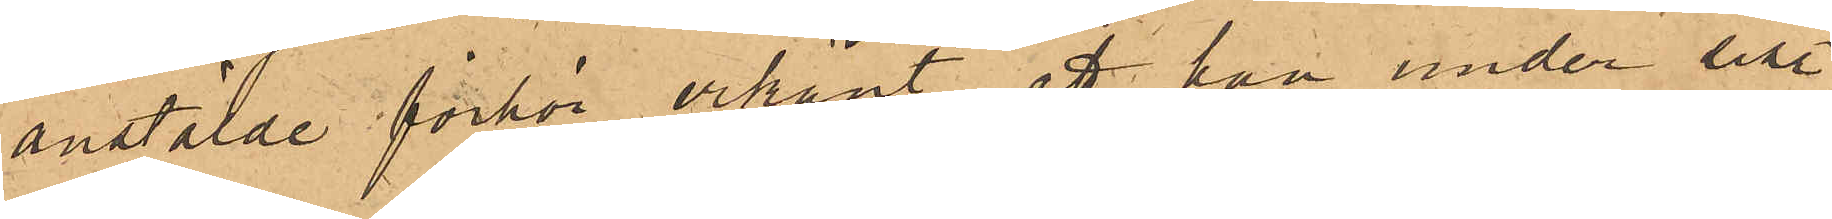anstälde förhör erkänt, att han under sist.
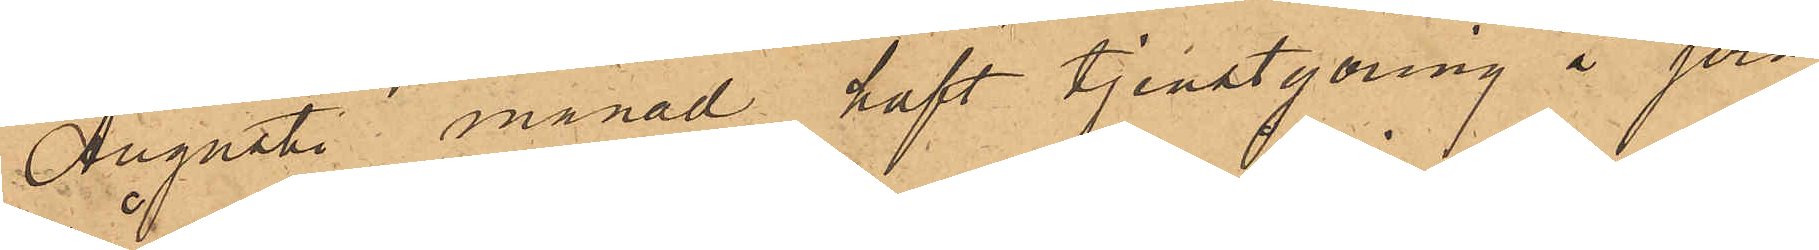Augusti månad haft tjenstgöring å jern¬
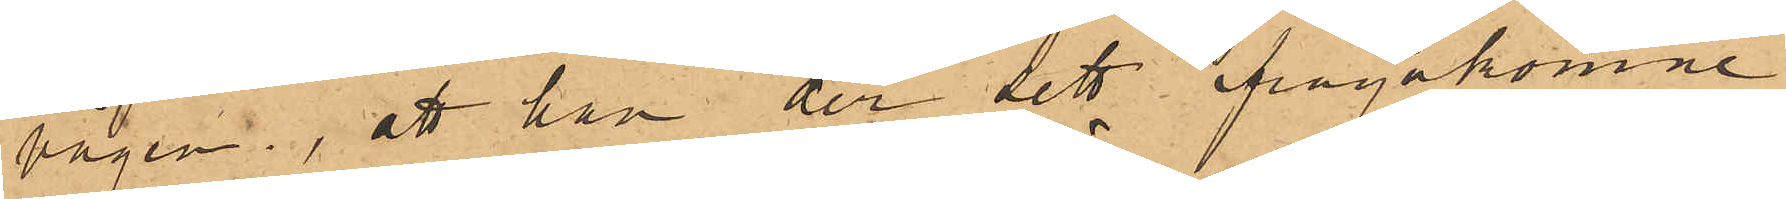vågen, att han der sett ifrågakomne
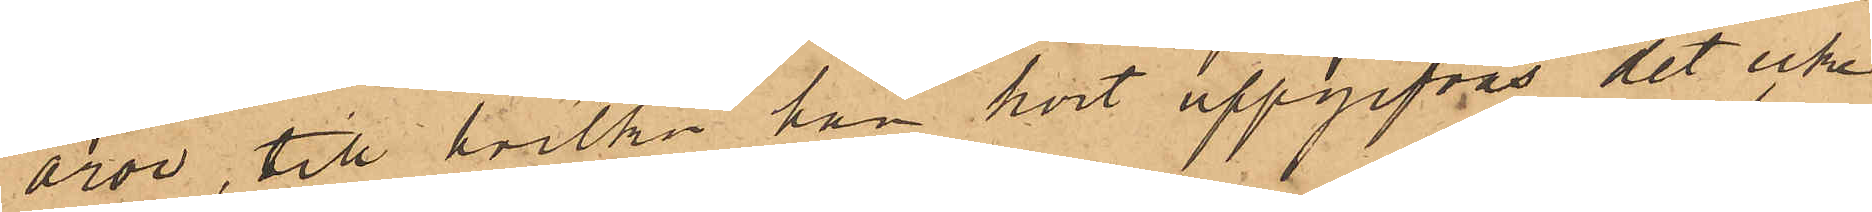åror, till hvilka han hört uppgifvas det icke
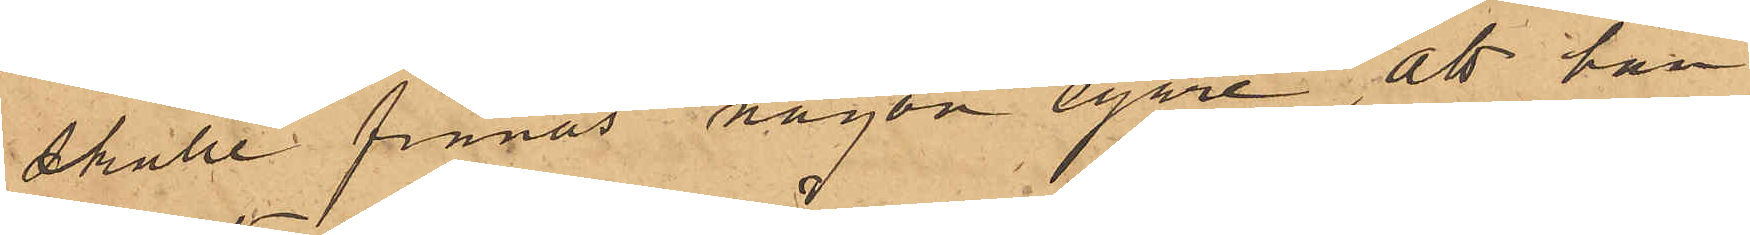skulle finnas någon egare, att han
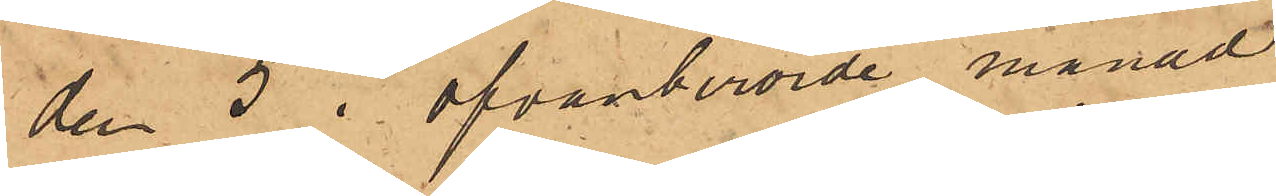den 5 i ofvanberörde månad
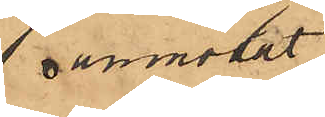anmodat
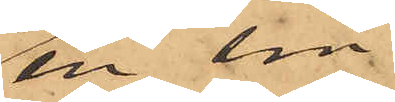en sin
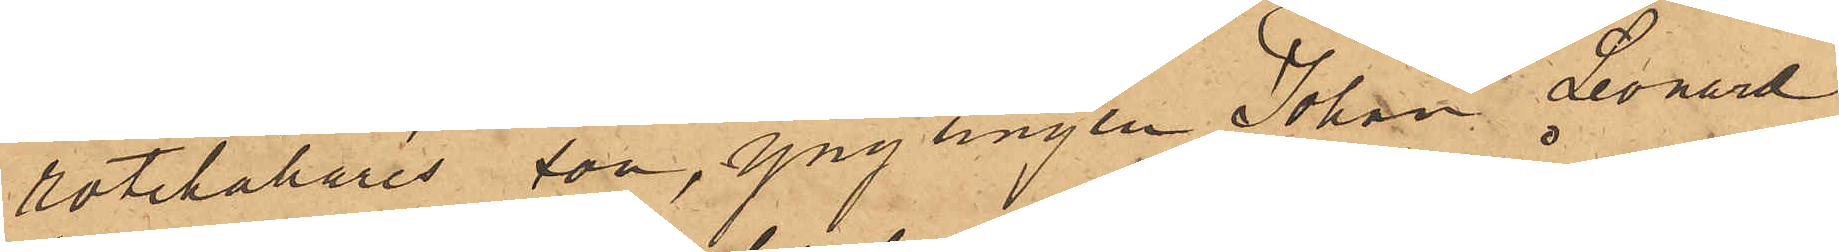rotehållares son, ynglingen Johan Leonard
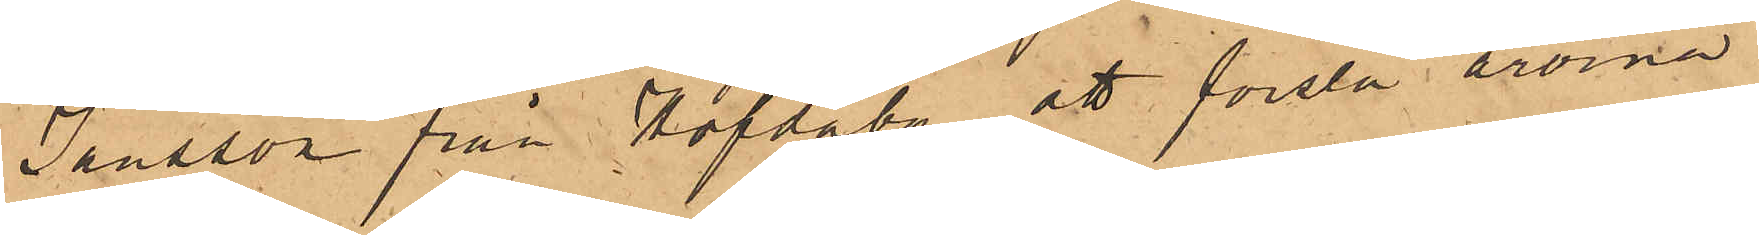Jansson från Hofdaby att forsla årorna
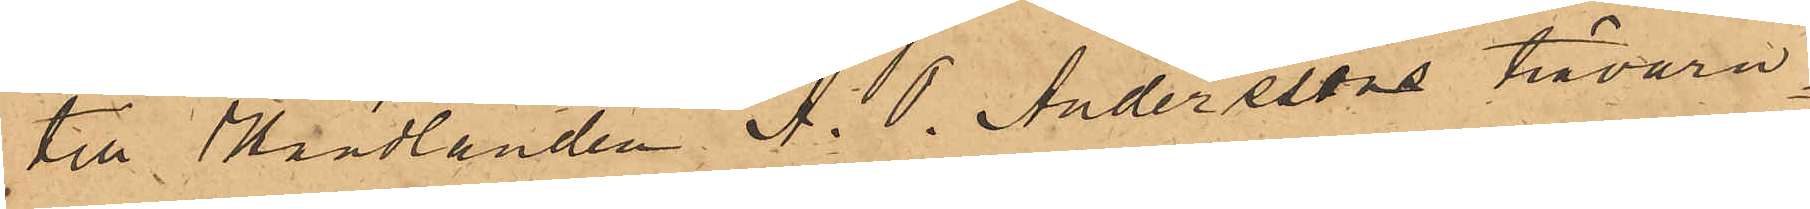till Handlanden A. O. Andersens trävaru¬
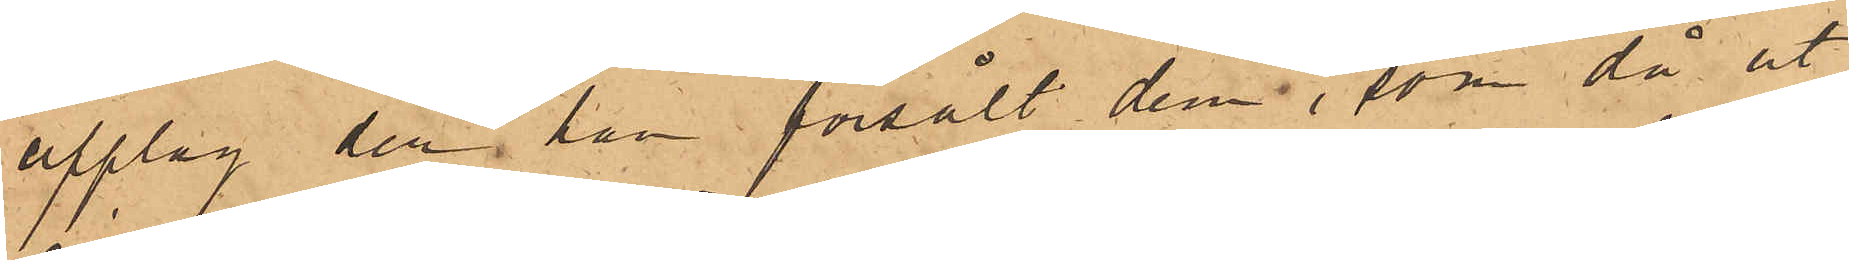upplag der han försålt dem, som då ut¬
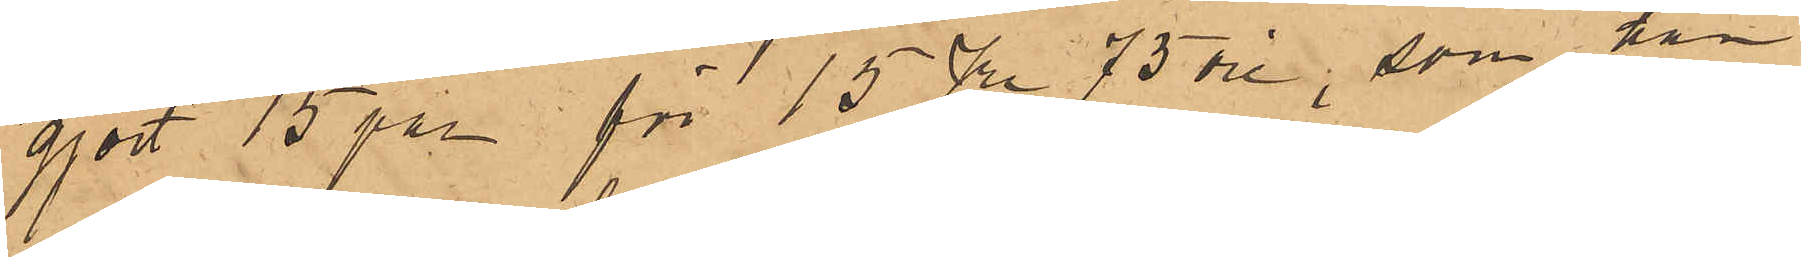gjort 15 par för 15 Kr 75 öre, som han
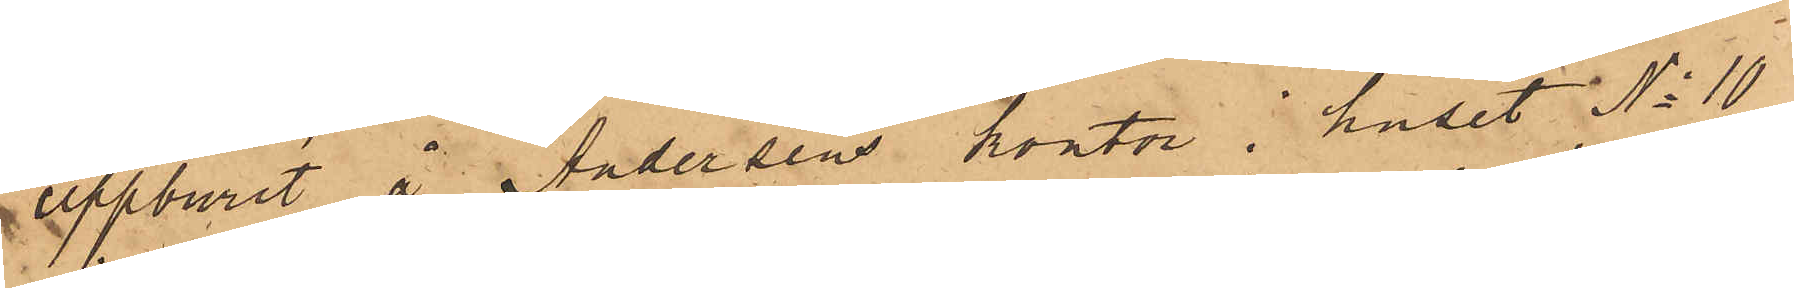uppburit å Andersens kontor i huset No 10
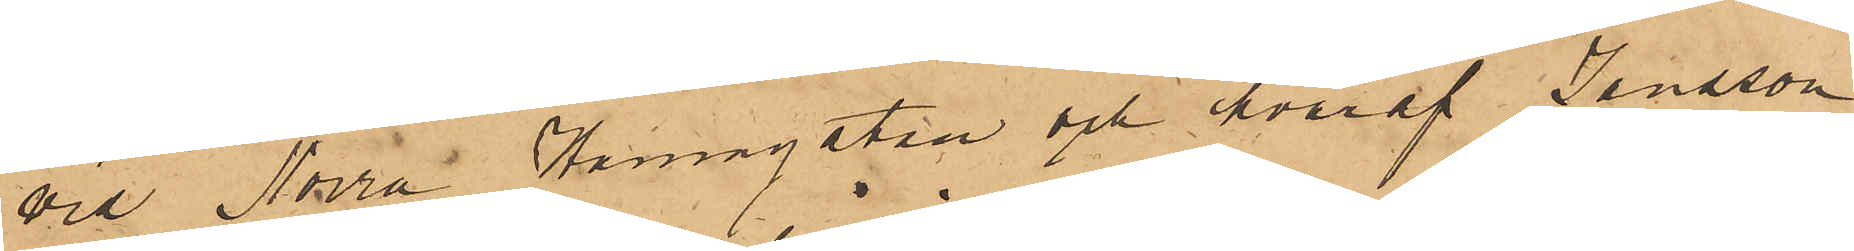vid Norra Hamngatan och hvaraf Jansson
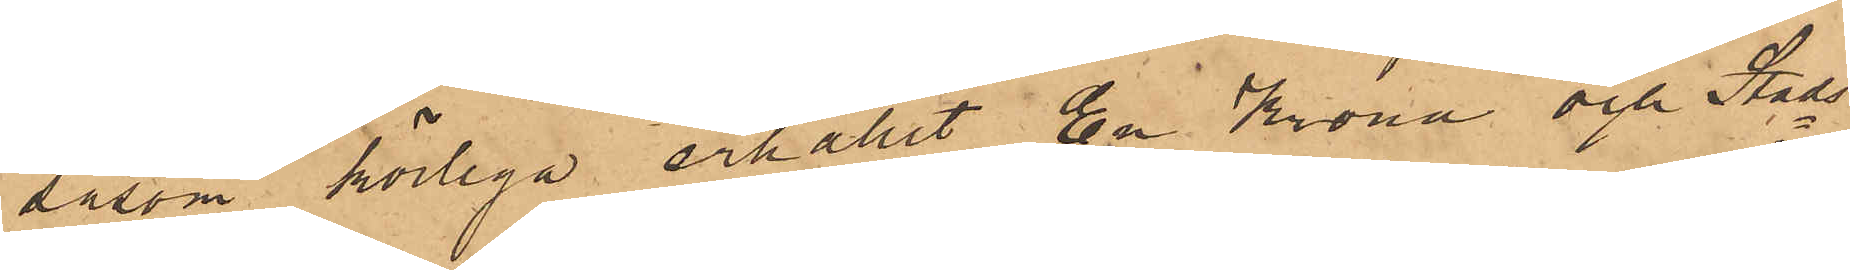såsom körlega erhållit En Krona och Stads¬
